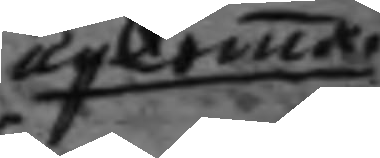upkomma
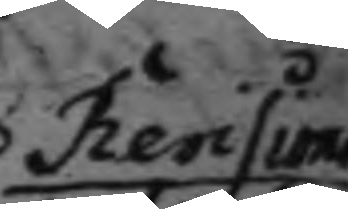Revisions
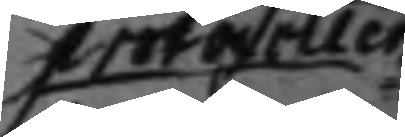protocoller.
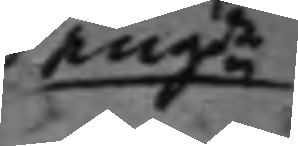angde 
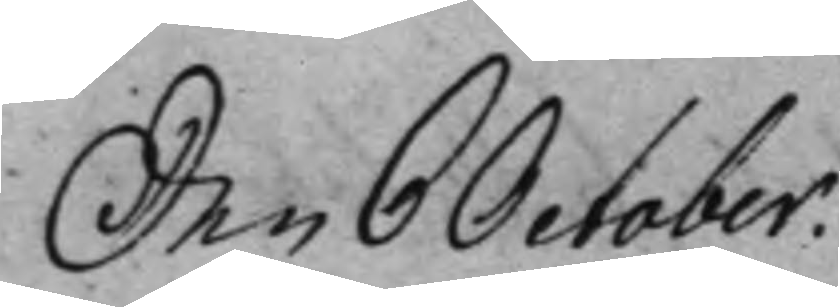Den 6 October.
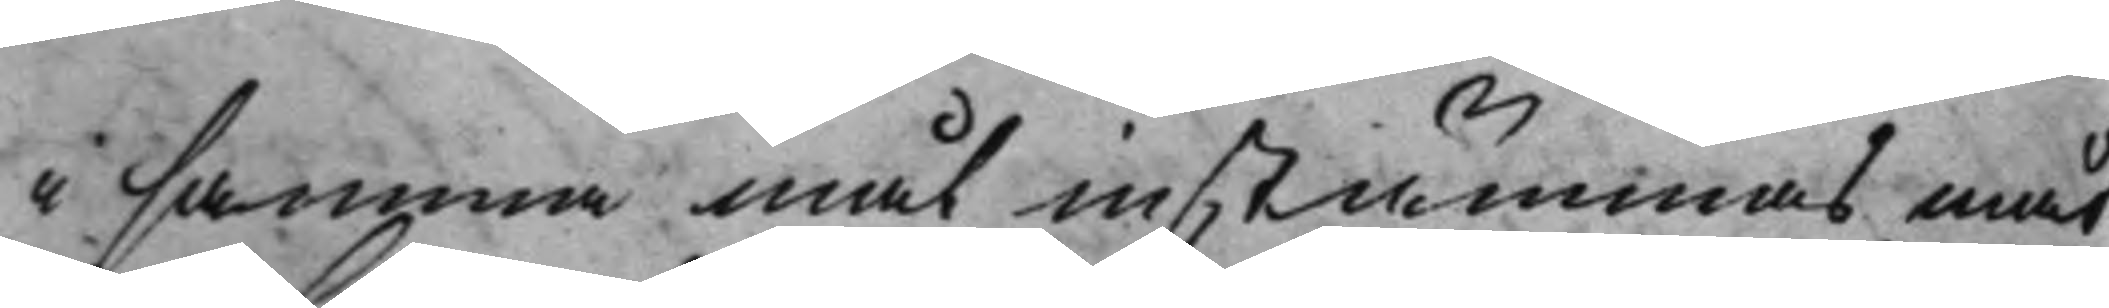i samma mål instämmas måt¬
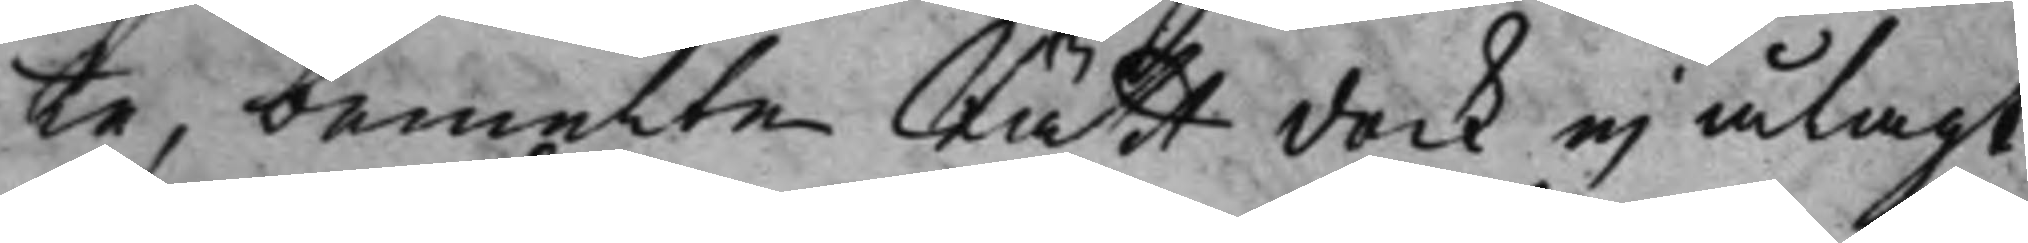te, bemelte Rätt dock ej ålagt
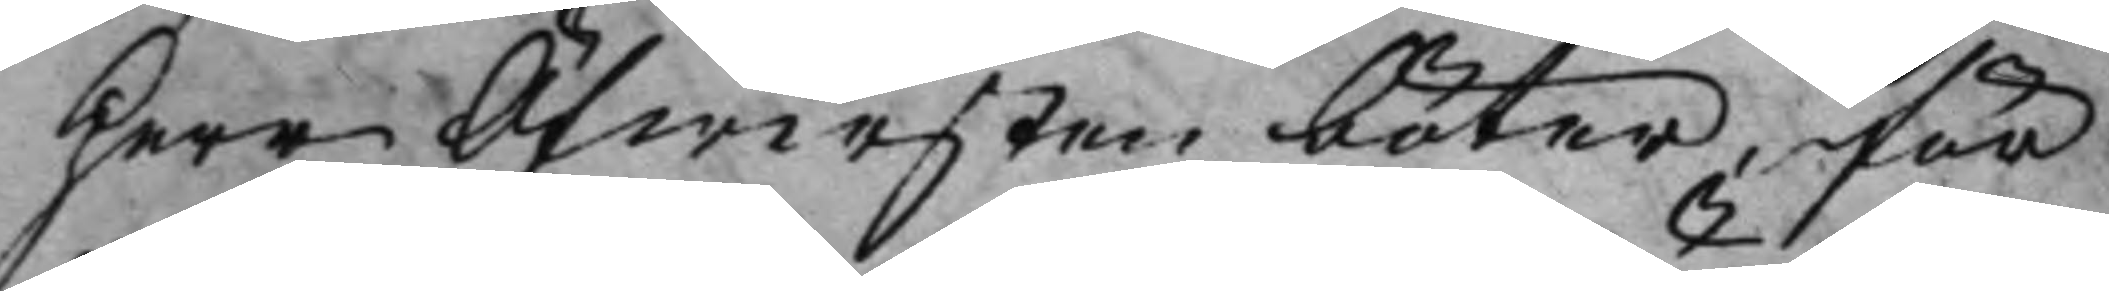Herr Öfwersten böter, för
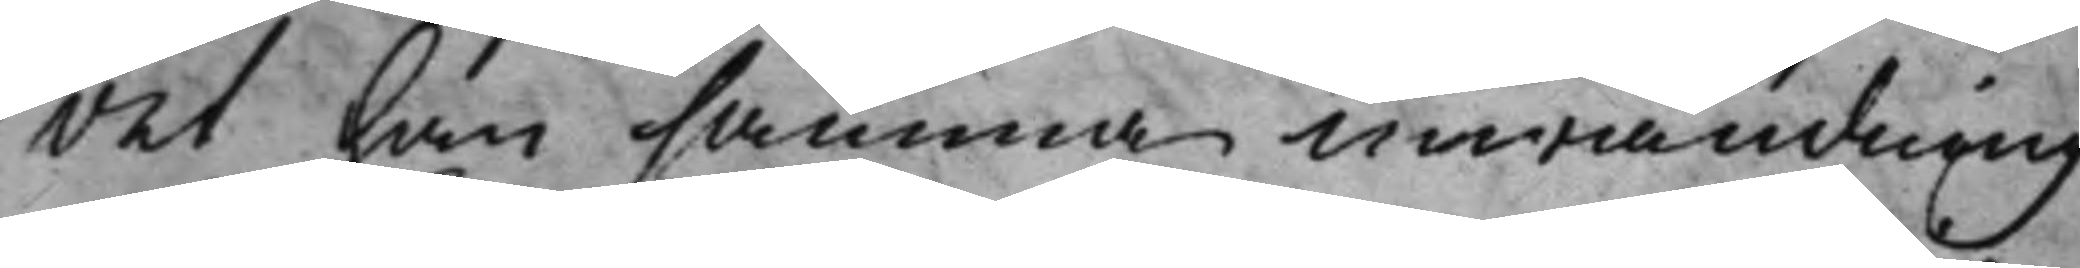det han samma inwändning
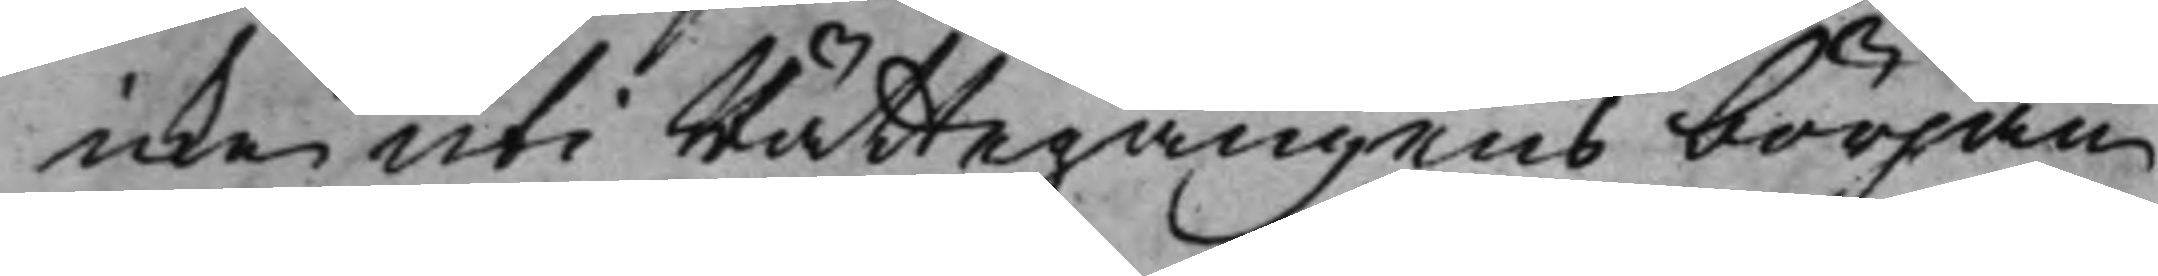icke uti Rättegångens början
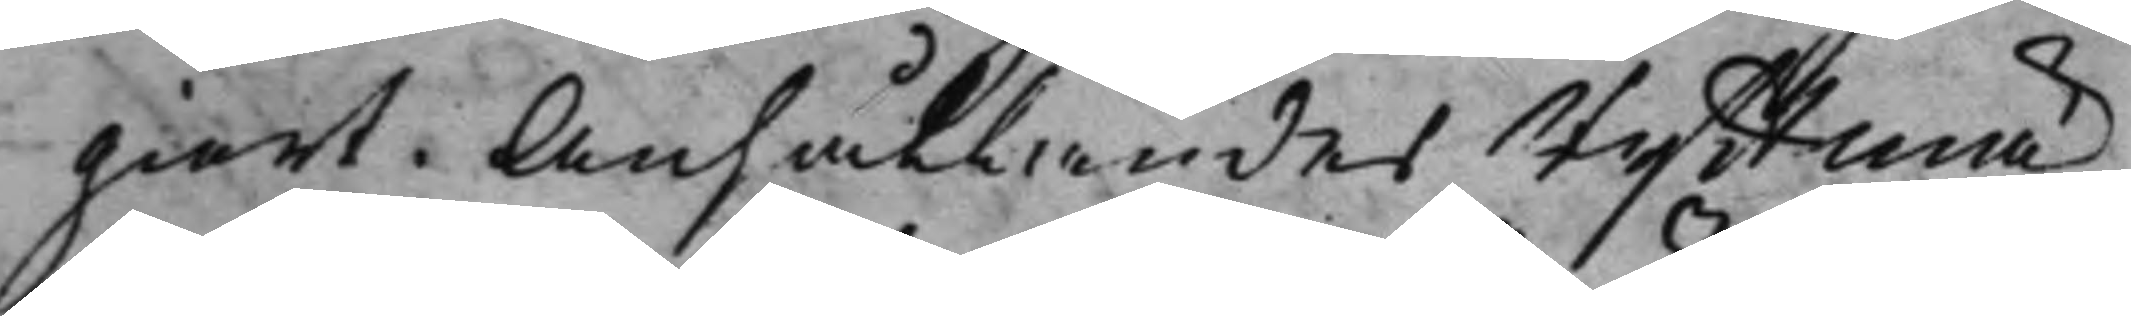giort. Anhållandes Ryttmä¬
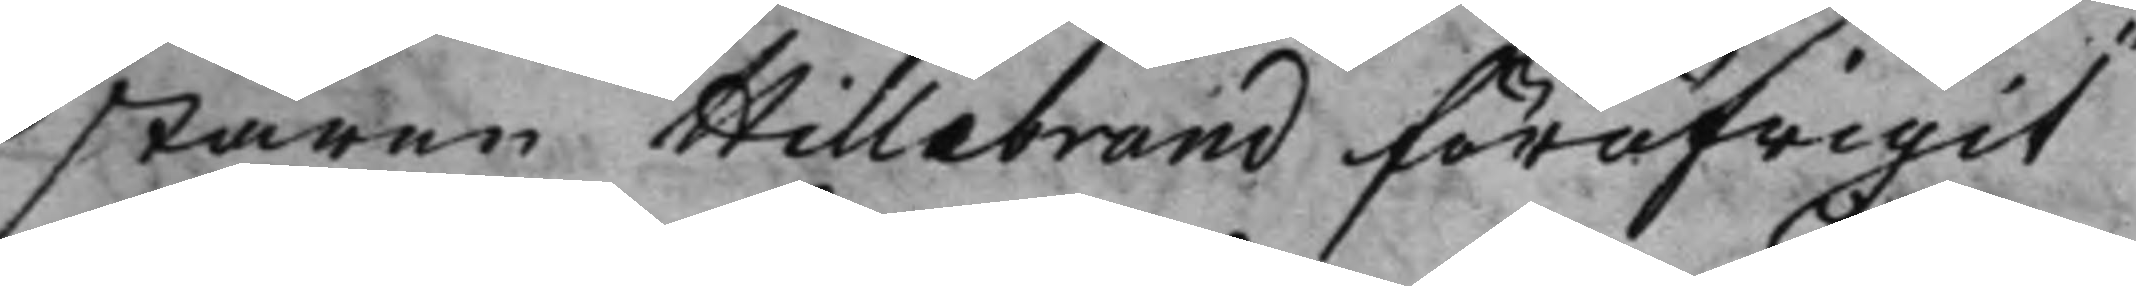staren Hillebrand föröfrigit
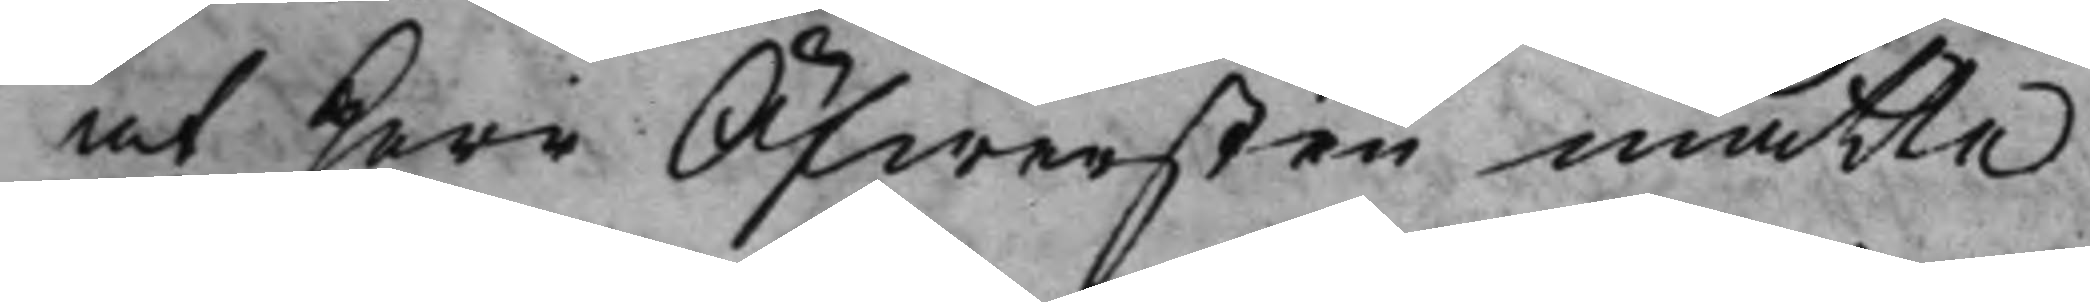at Herr Öfwersten måtte
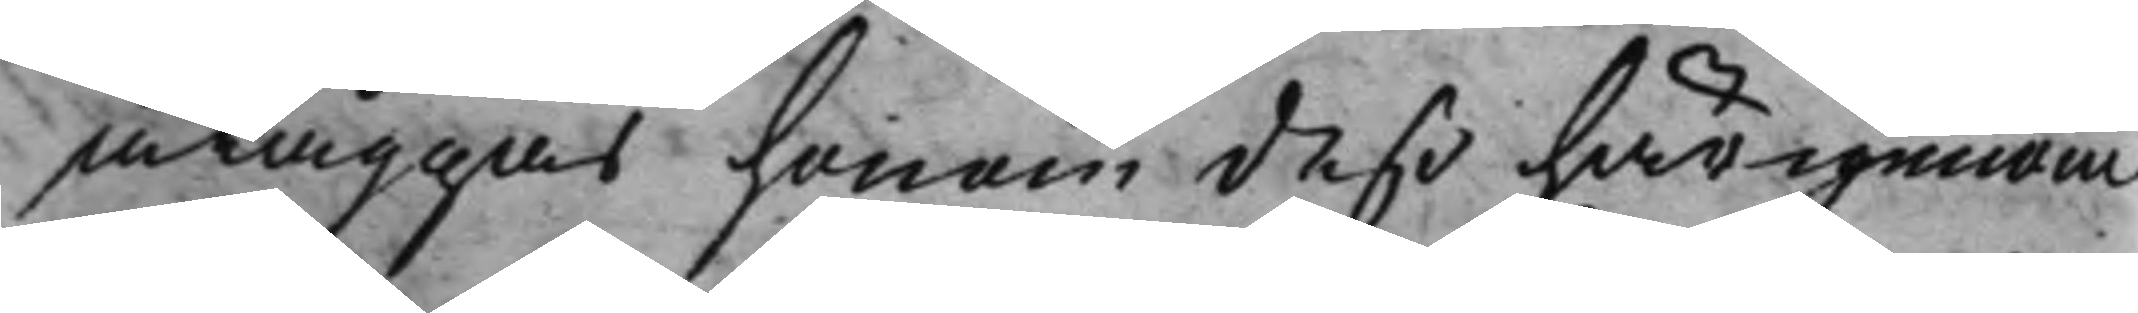åläggas honom deß härigenom
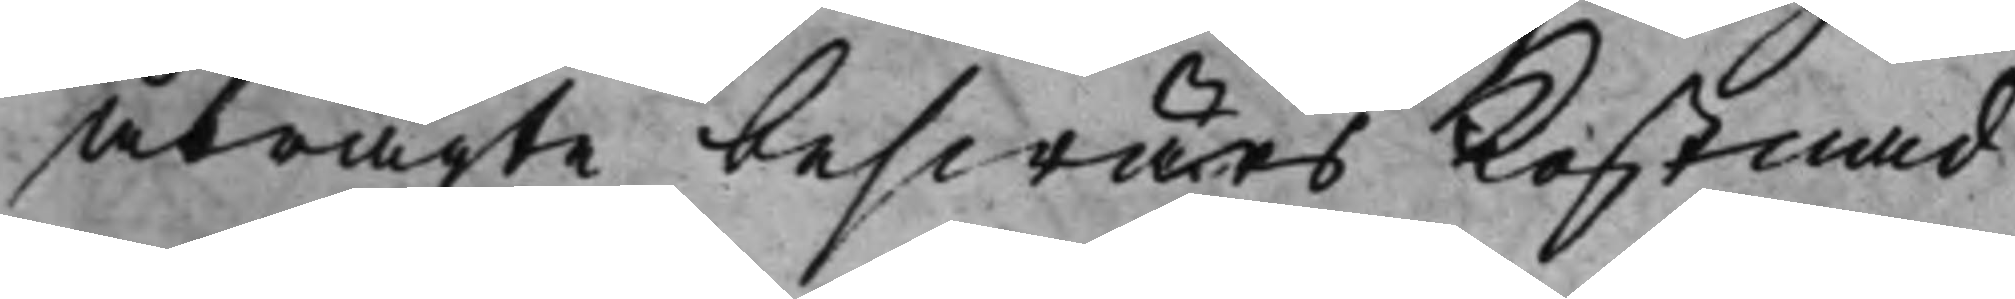åbragte beswärs Kostnad
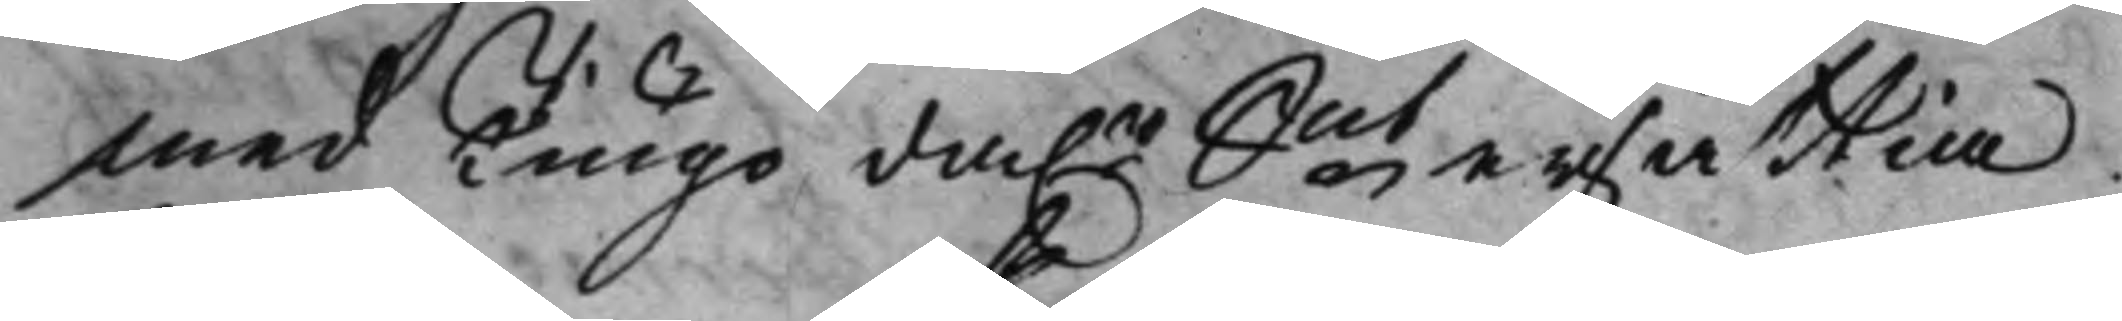med Tiugo da.r Smt ersättia.
